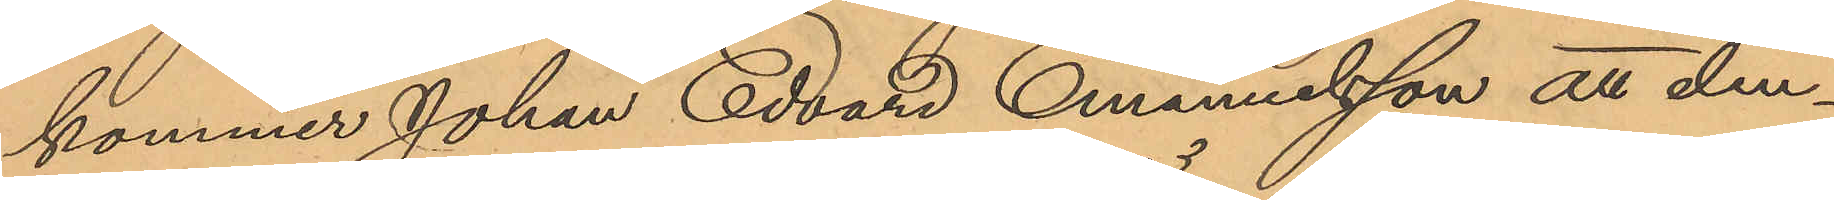kommer Johan Edvard Emanuelsson att den¬
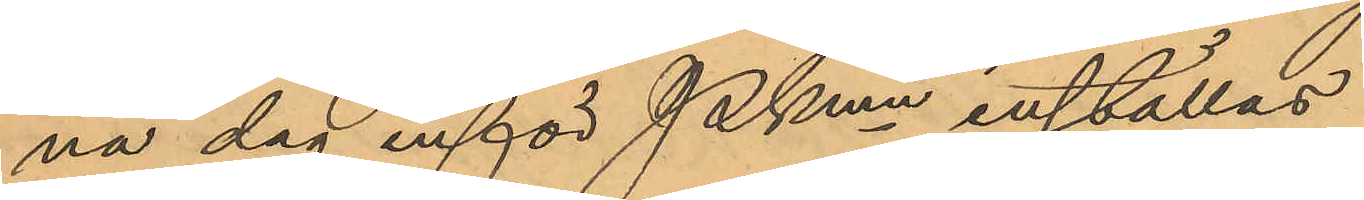na dag inför Pkmn inställas.
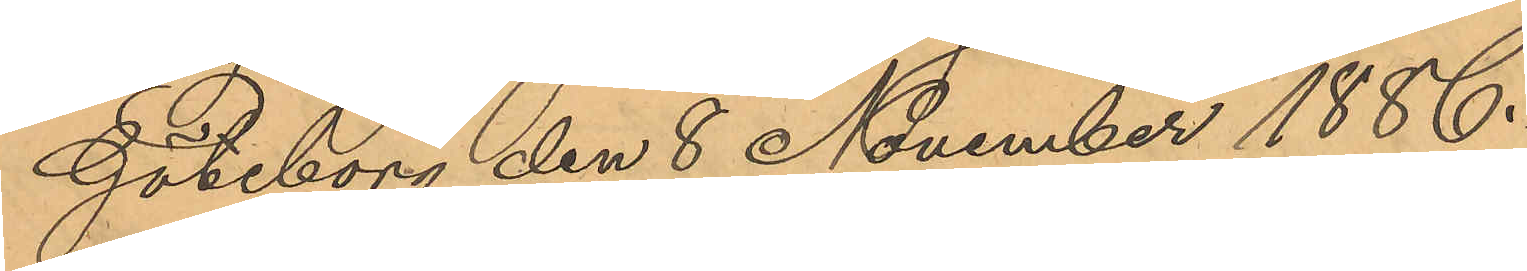Göteborg den 8 November 1886.
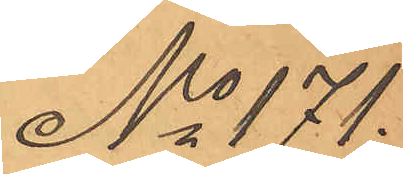No 171.
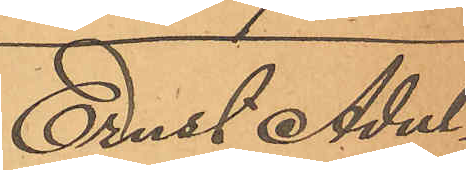Ernst Adul¬
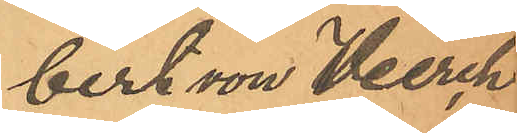bert von Herch
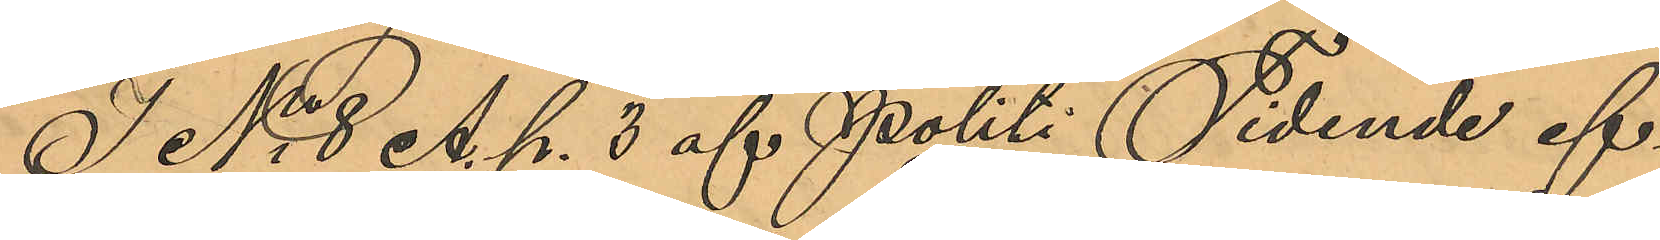I No 8 A. P. 3 af Politi Tidende ef¬
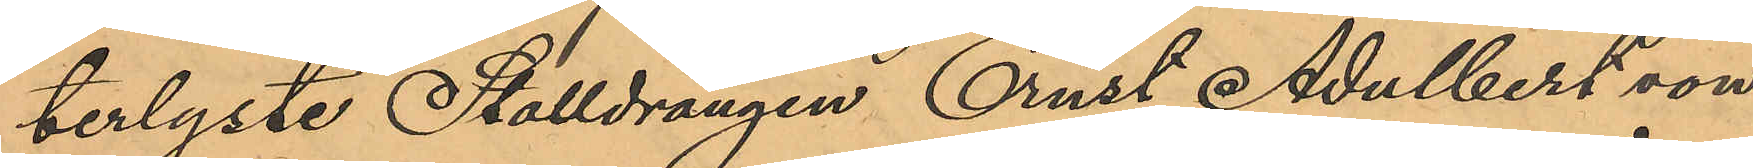terlyste Stalldrängen Ernst Adulbert von
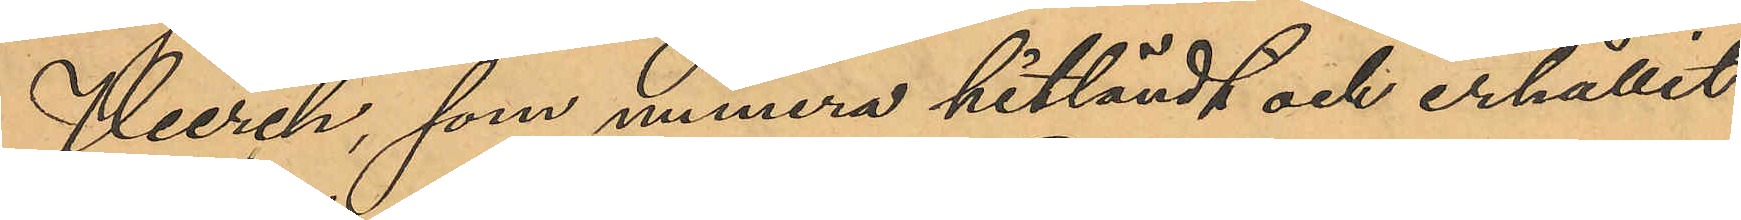Herch, som numera hitländt och erhållit
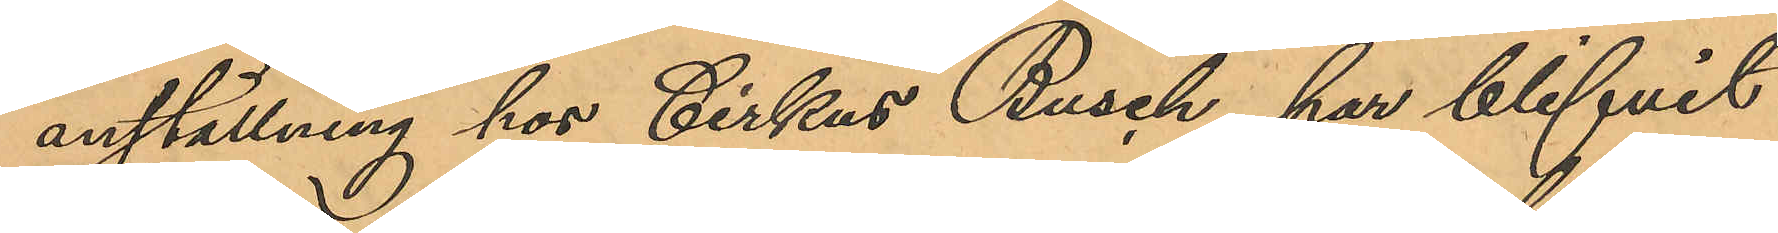anställning hos Cirkus Busch, har blifvit
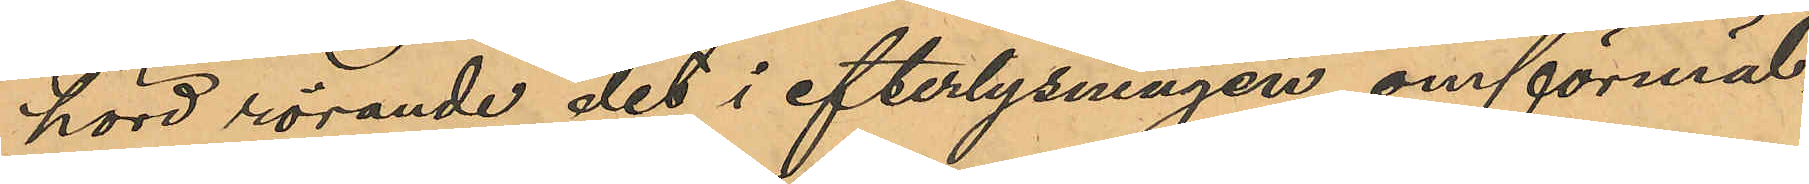hörd rörande det i efterlysningen omförmäl¬
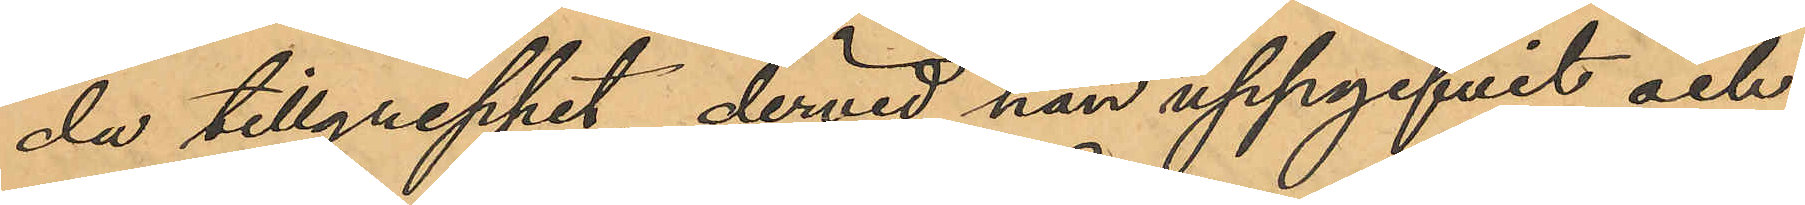da tillgreppet, dervid han uppgifvit och
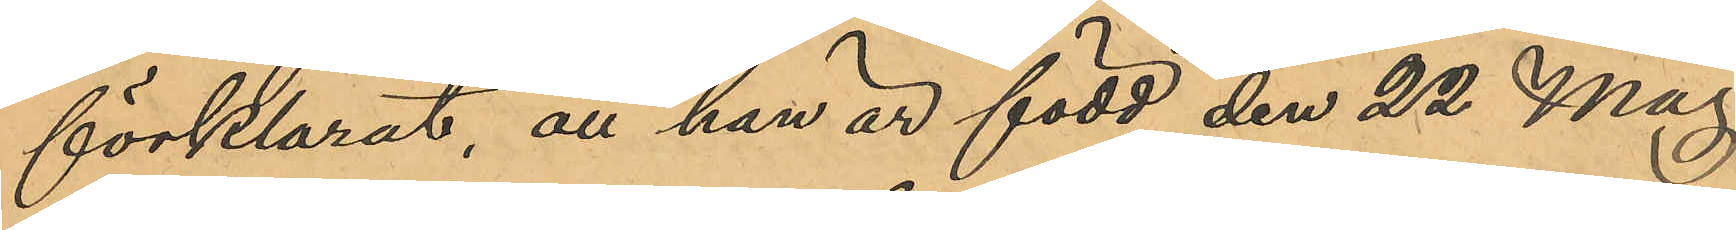förklarat, att han är född den 22 Maj
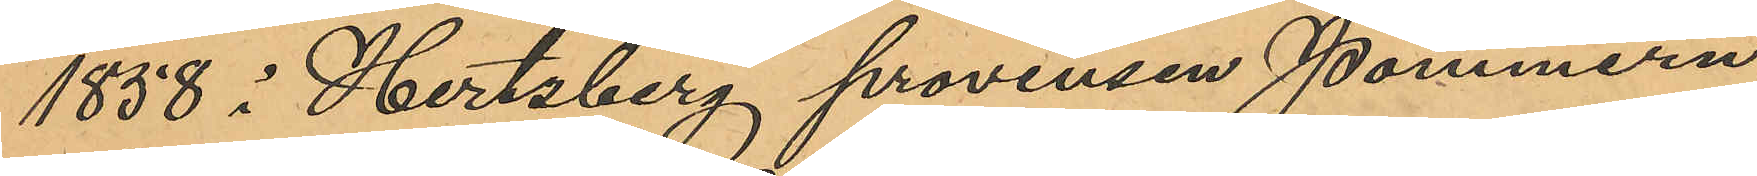1858 i Hertzberg provinsen Pommern,
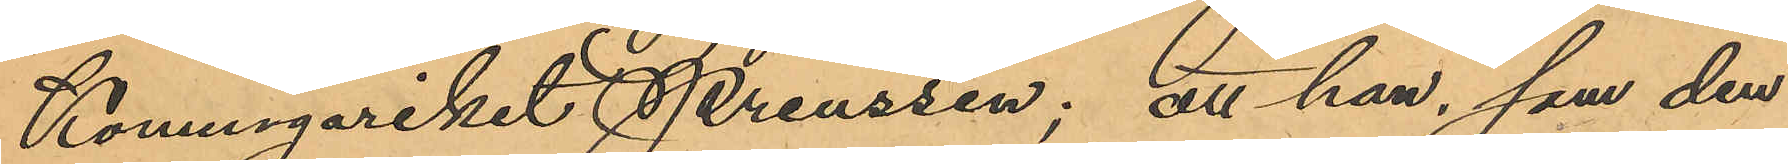Konungariket Preussen; att han, som den
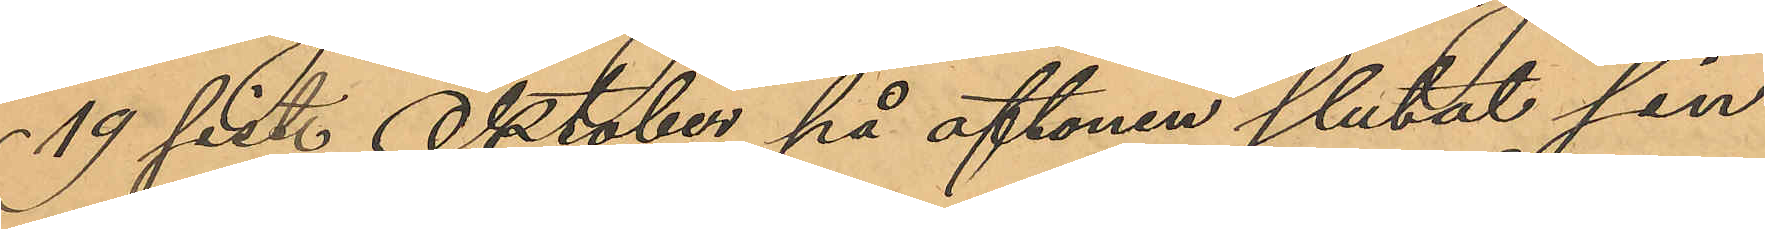19 sist. Oktober på aftonen slutat sin
